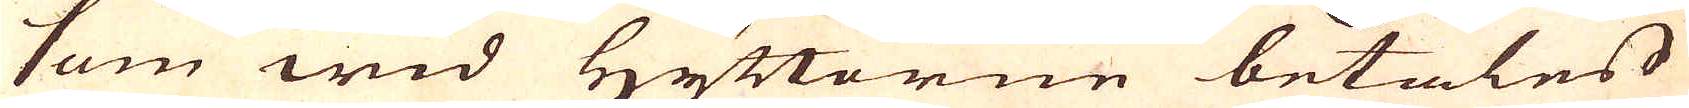som wid Hyttorne betales
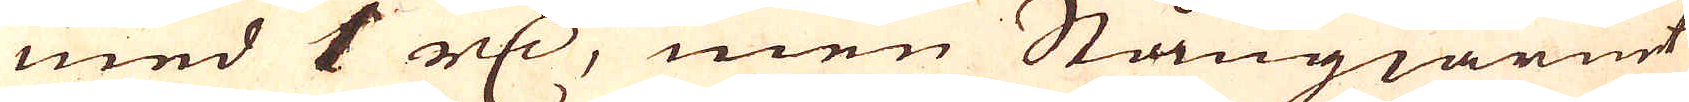med 6 r:dr, men Stångiärnet
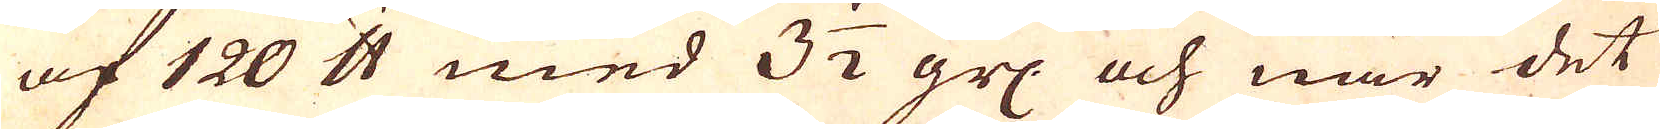af 120 skålpund med 3 1/2 grs.: och när det
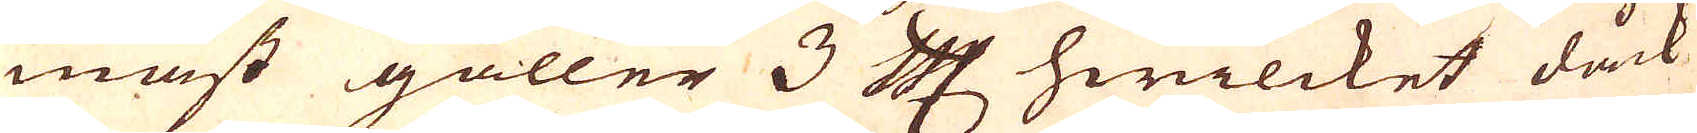mäst gäller 3 Cologne Mark hwilcket dåck
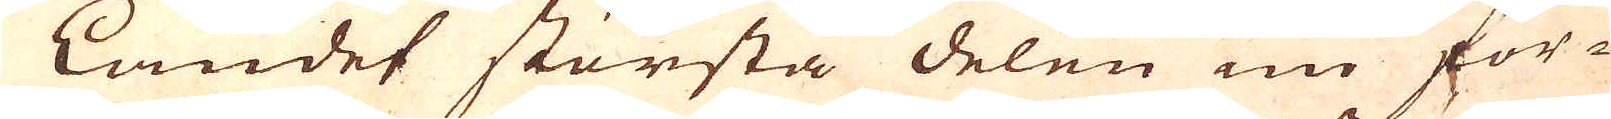i Landet största delen nu för-
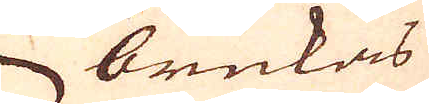brukas
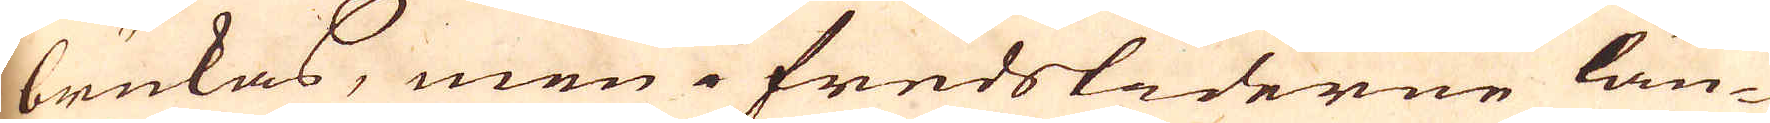brukas, men i fredstiderne län-
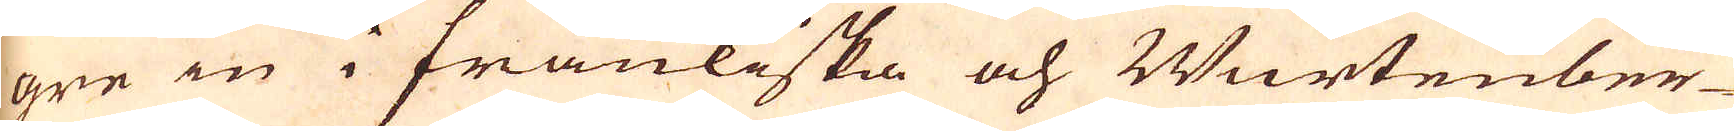gre in i frankiska och Wurtenber-
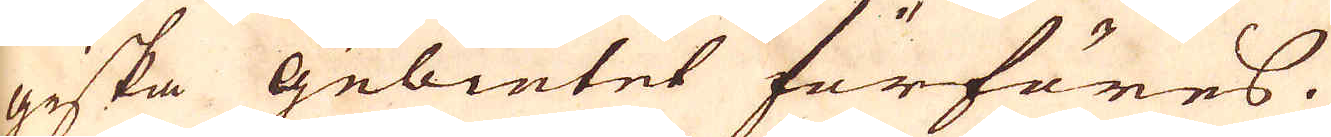giska gebietet förföres.
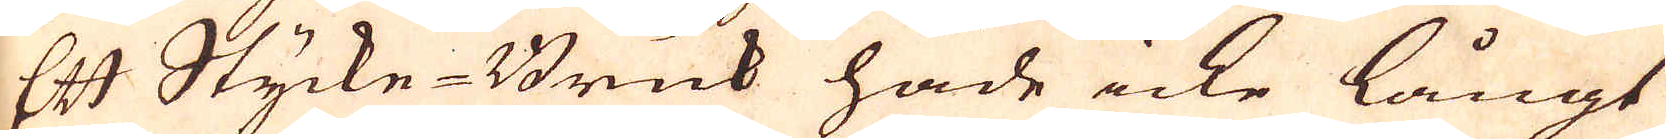Ett Stycke-Bruk hade icke långt
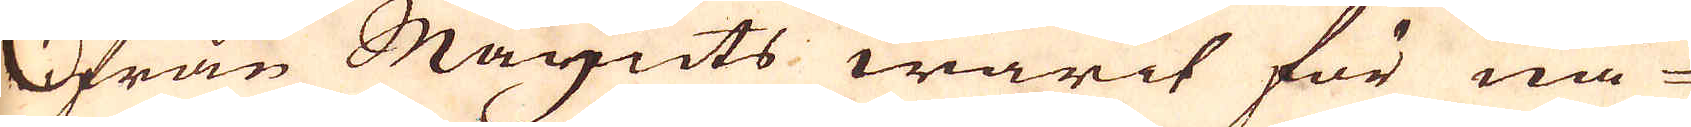ifrån Maynts warit för nå-
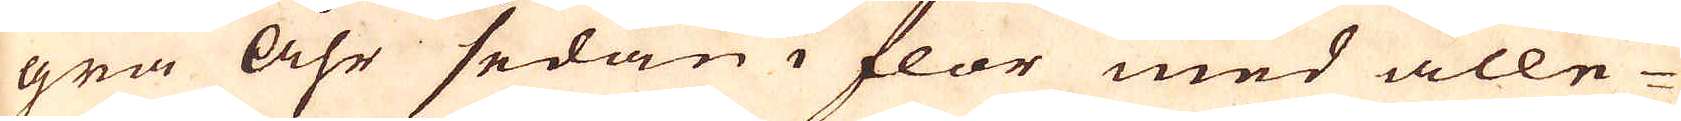gra Åhr sedan i flor med alle-
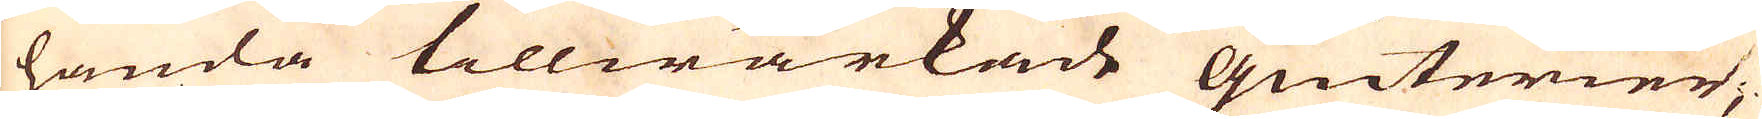handa tillwärkade Giuterier,
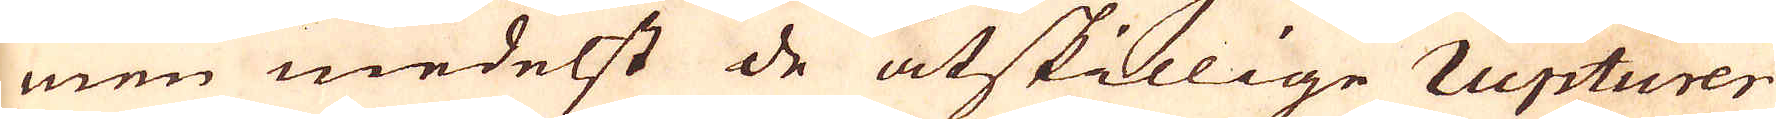men medelst de åtskillige rupturer
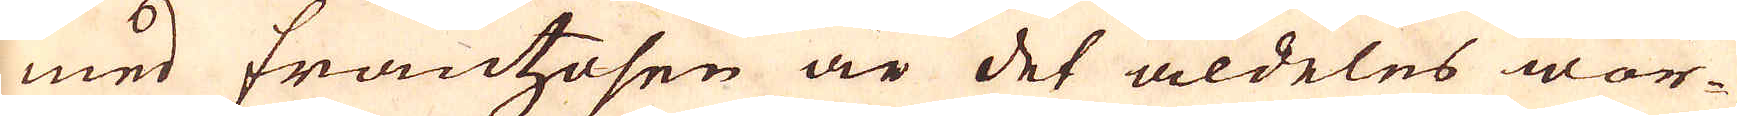med frantzosen är det aldeles wor-
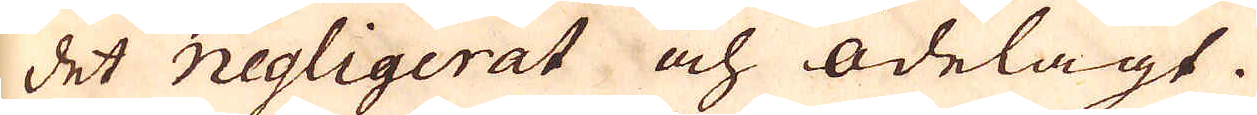det negligerat och ödelagt.
